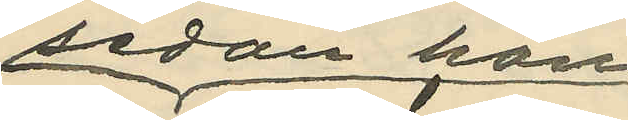sedan hon
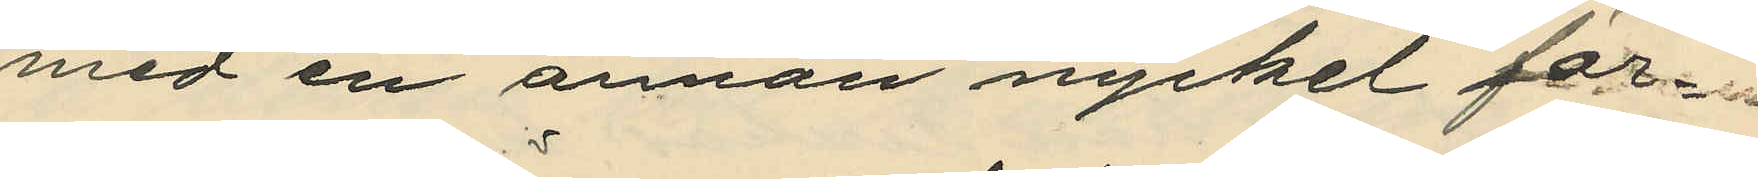med en annan nyckel för¬
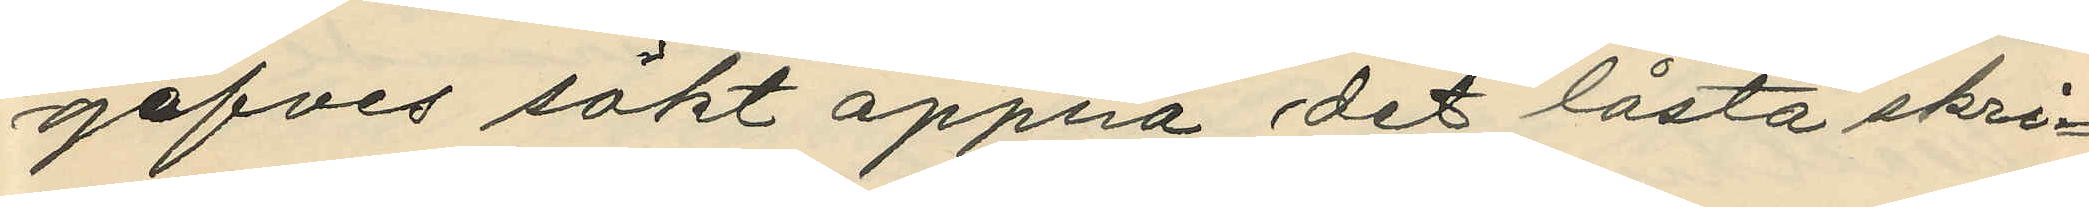gäfves sökt öppna det låsta skri¬
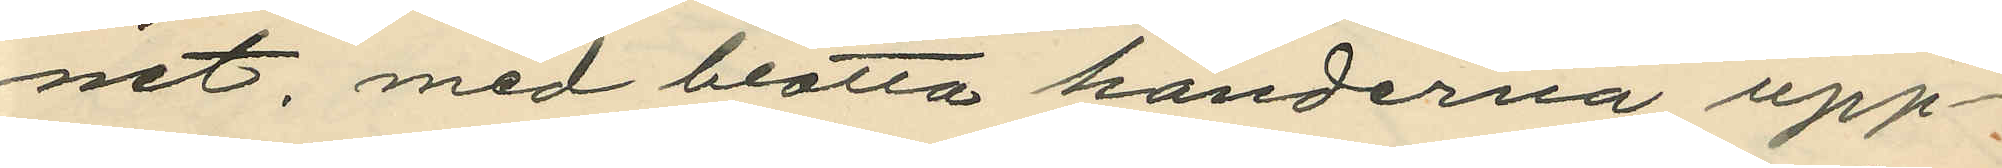net, med blotta händerna upp¬
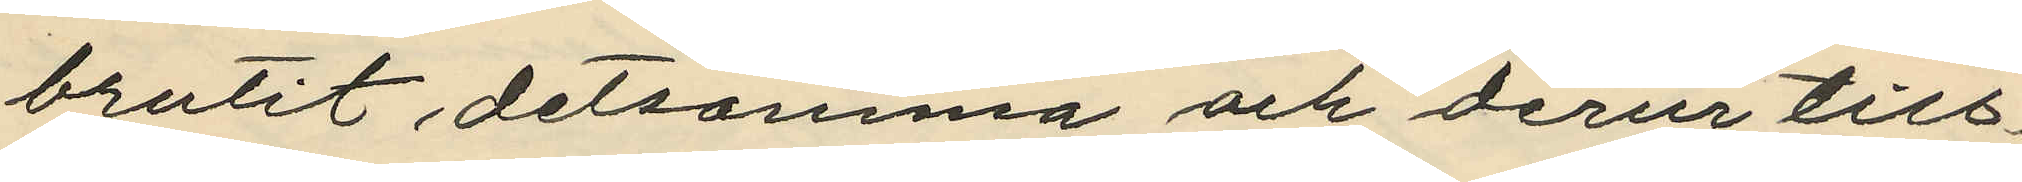brutit detsamma och derur till¬
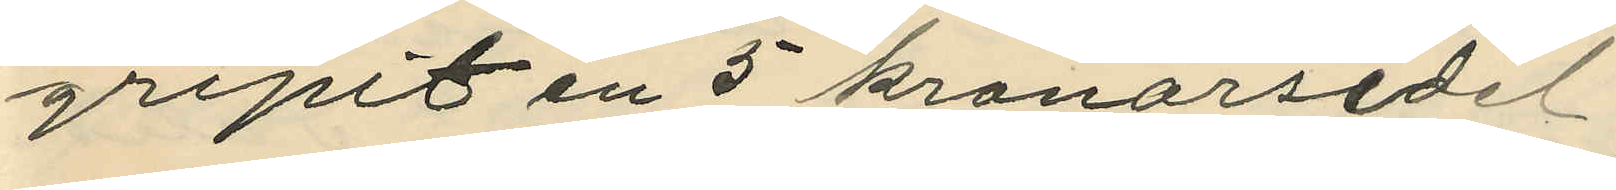gripit en 5 kronorsedel;
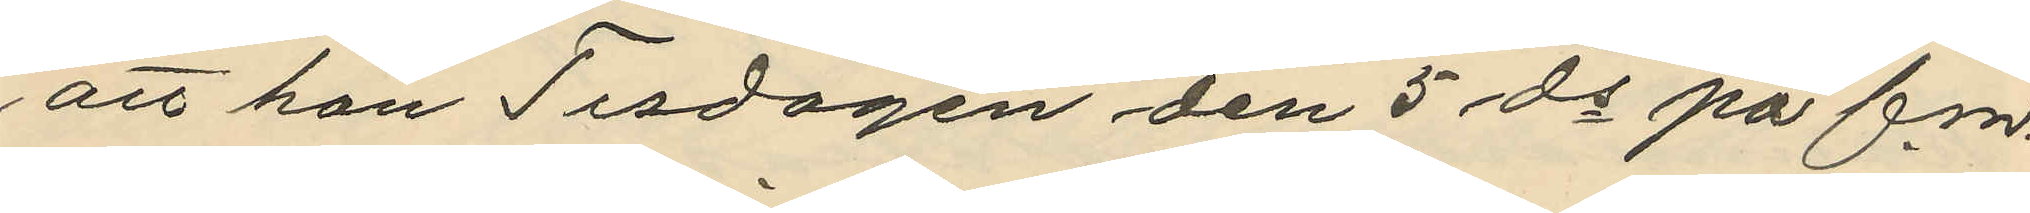att hon Tisdagen den 5 ds på f.m.
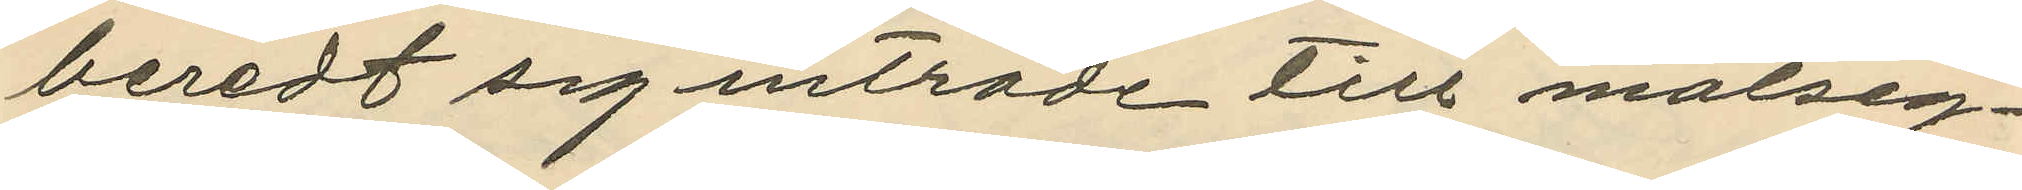beredt sig inträde till målseg¬
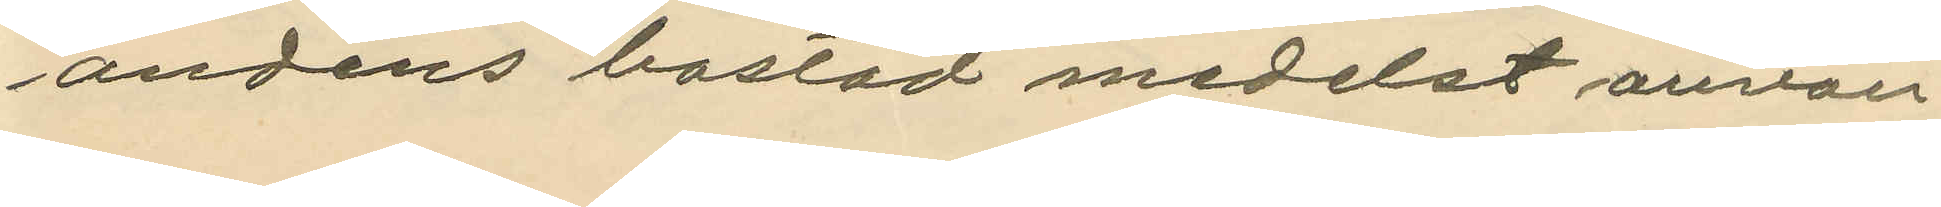andens bostad medelst använ¬
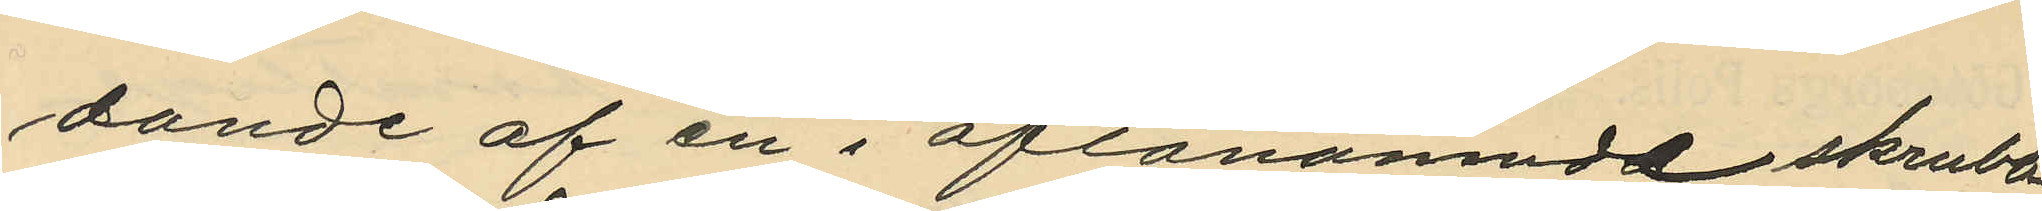dande af en i oflanamnde skrubb
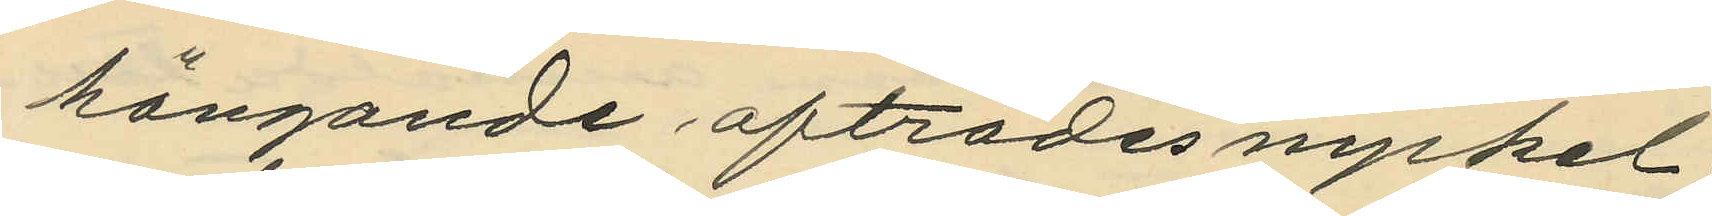hängande afträdesnyckel;
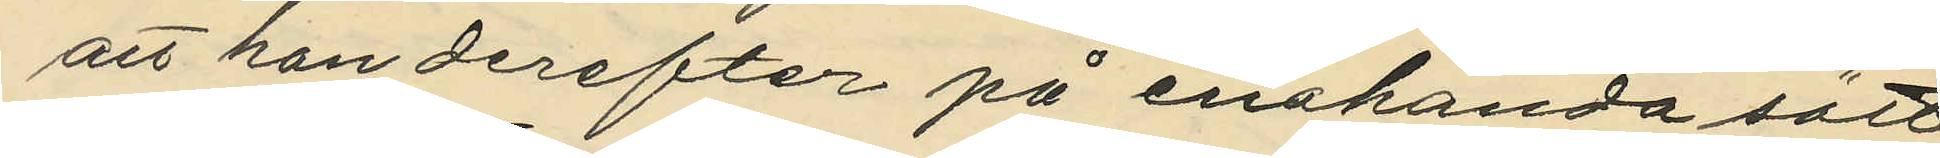att hon derefter på enahanda sätt
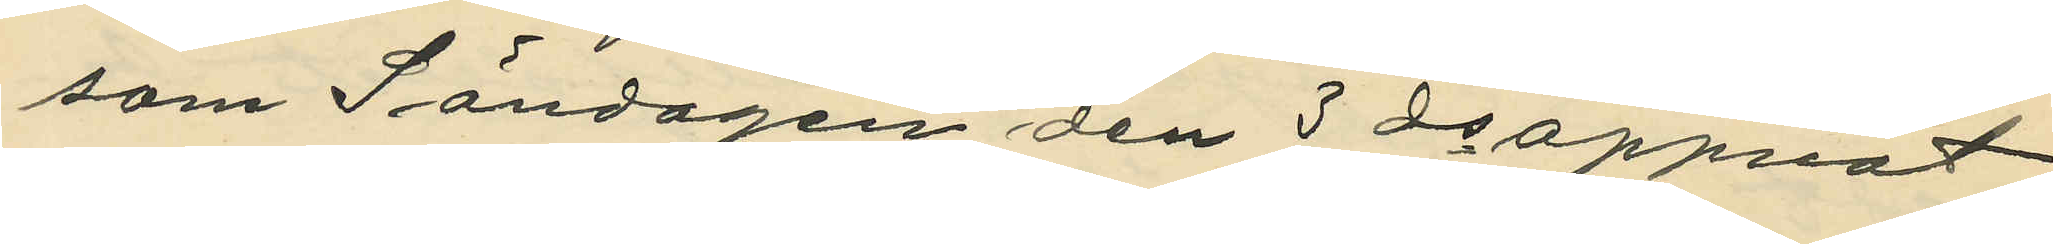som Söndagen den 3 ds öppnat
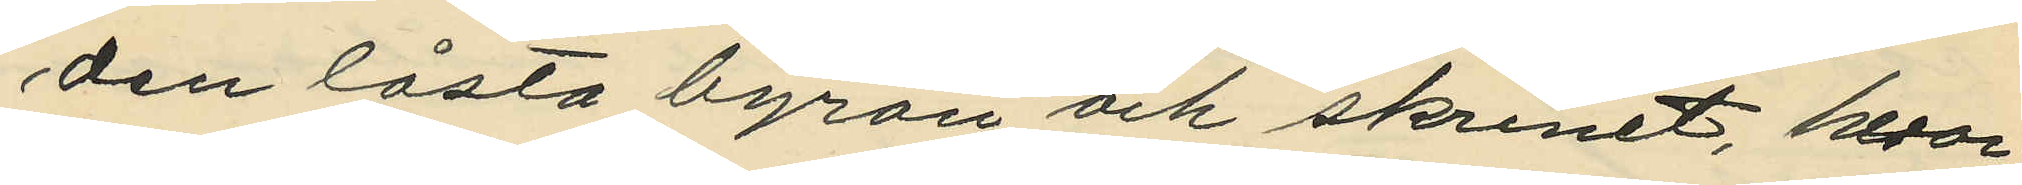den låsta byrån och skrinet, hvar¬
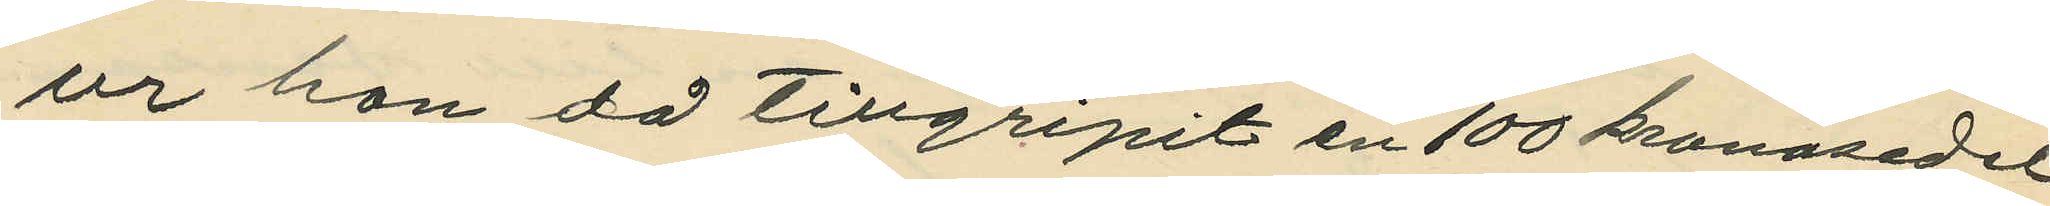ur hon då tillgripit en 100 konosedel
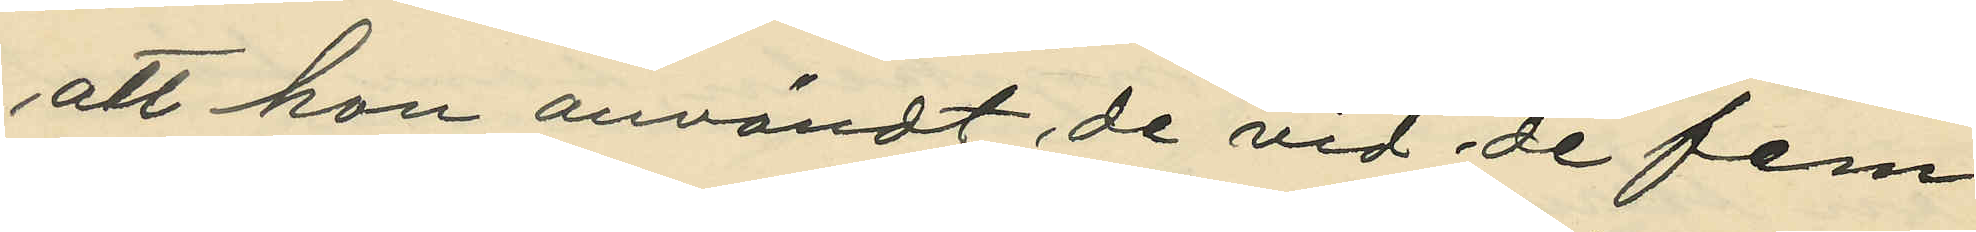att hon användt de vid de fem
